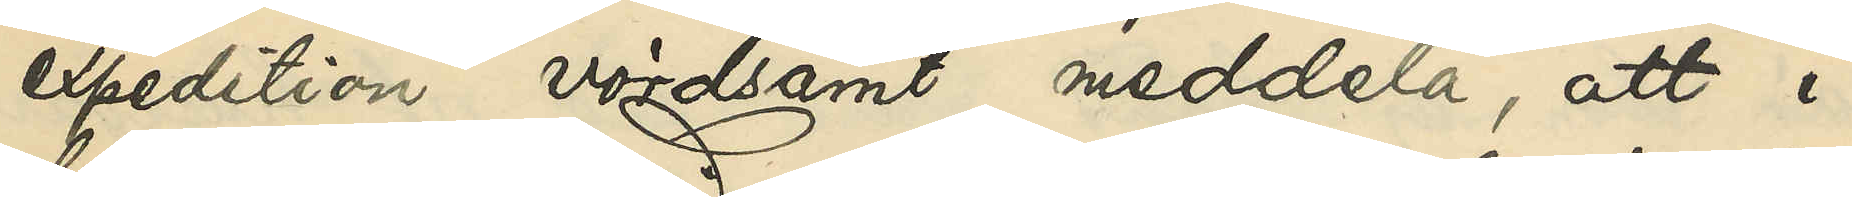expedition vördsamt meddela, att i
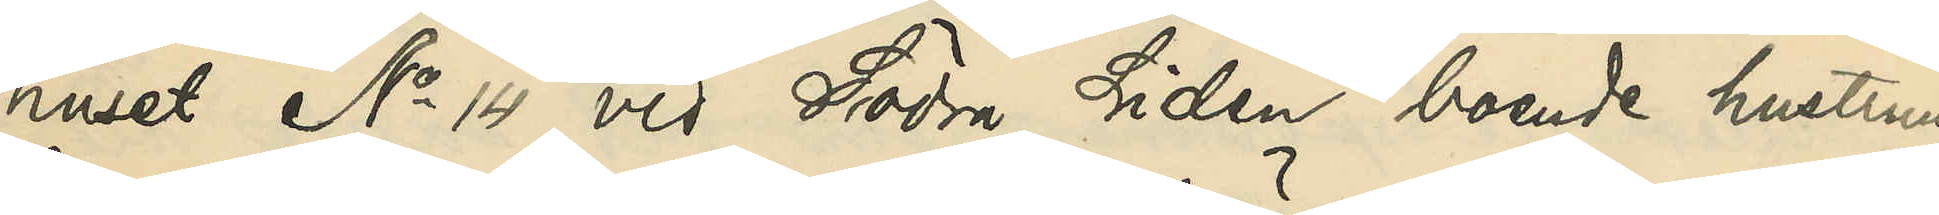huset No 14 vid Södra Liden boende hustrun
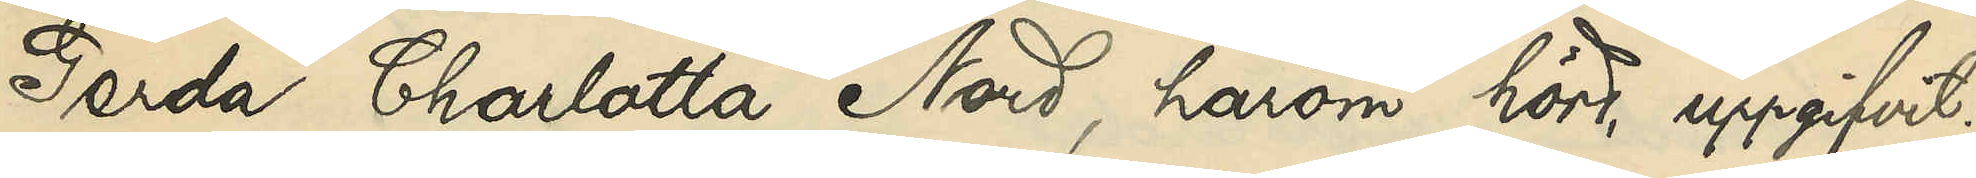Gerda Charlotta Nord, härom hörd, uppgifvit:
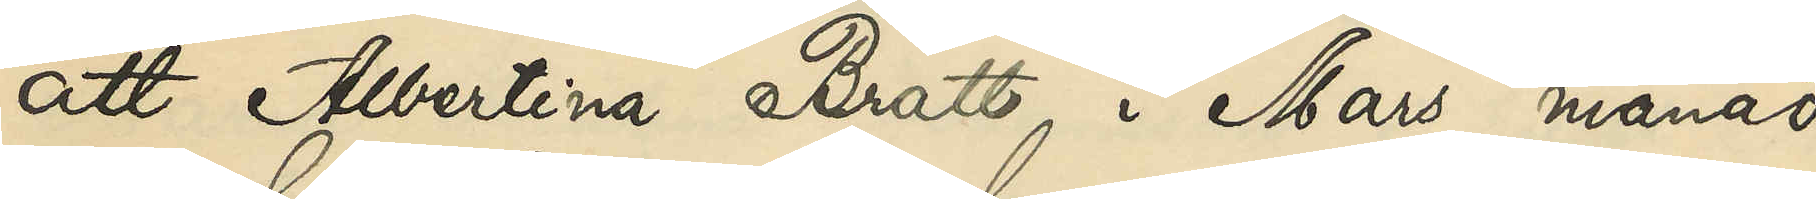att Albertina Bratt i Mars månad
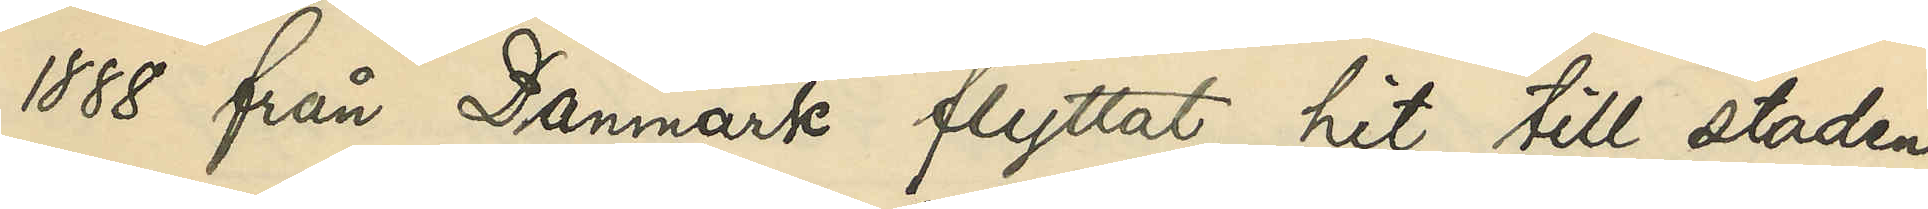1888 från Danmark flyttat hit till staden,
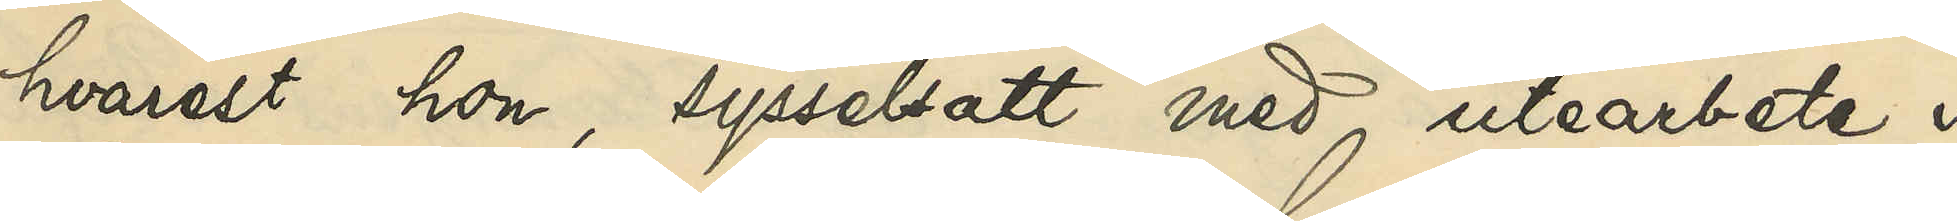hvarest hon, sysselsatt med utearbete i
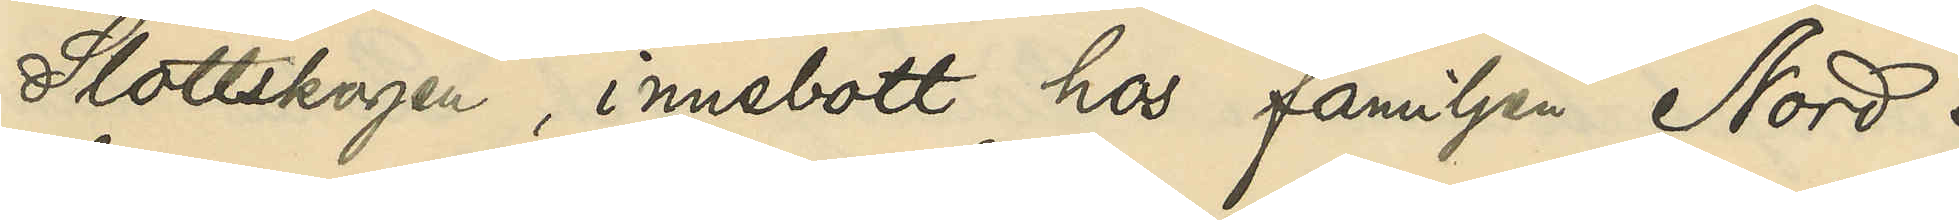Slottsskogen, innebott hos familjen Nord i
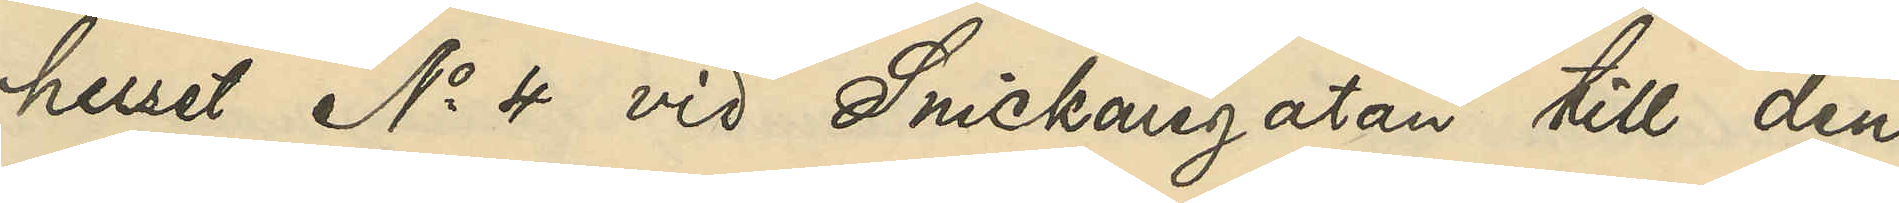huset No 4 vid Snickaregatan till den
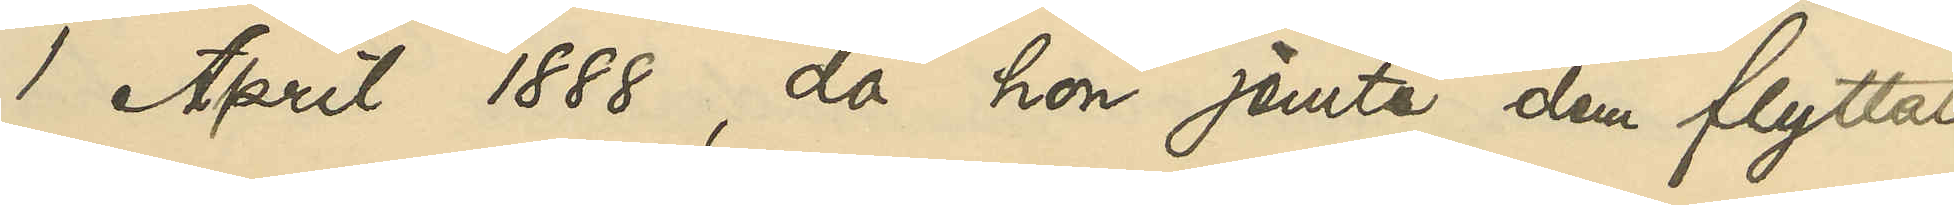1 April 1888, då hon jemte dem flyttat
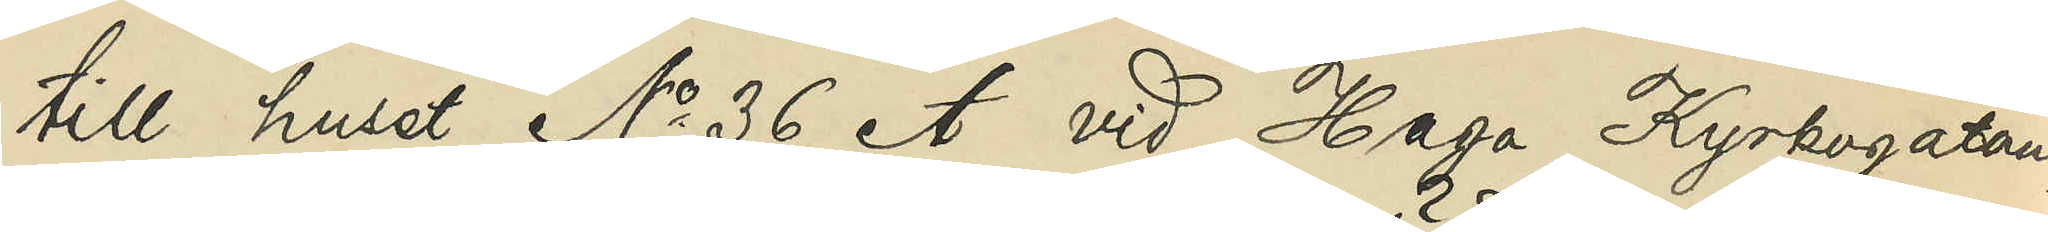till huset No 36 A vid Haga Kyrkogatan,
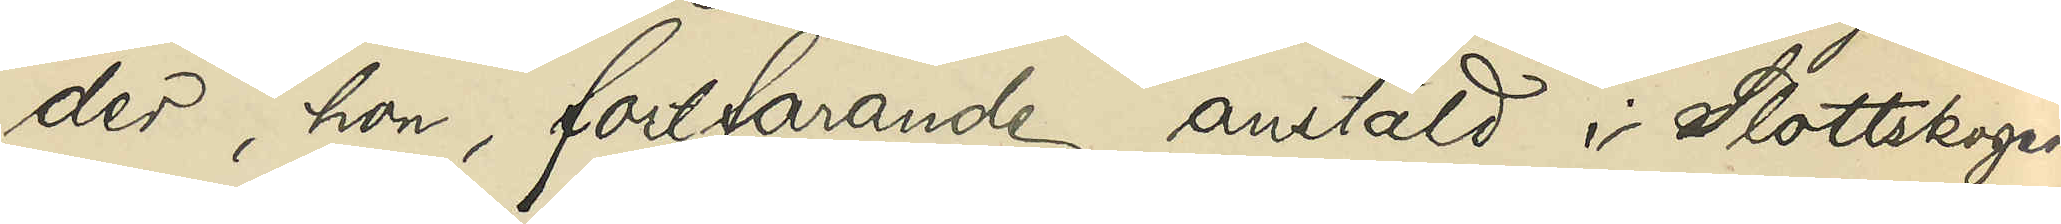der, hon, fortfarande anstäld i Slottsskogen,
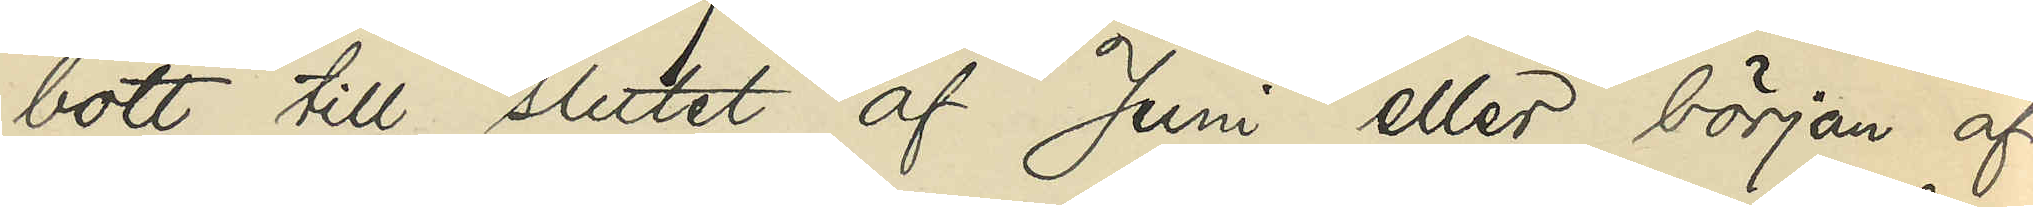bott till slutet af Juni eller början af
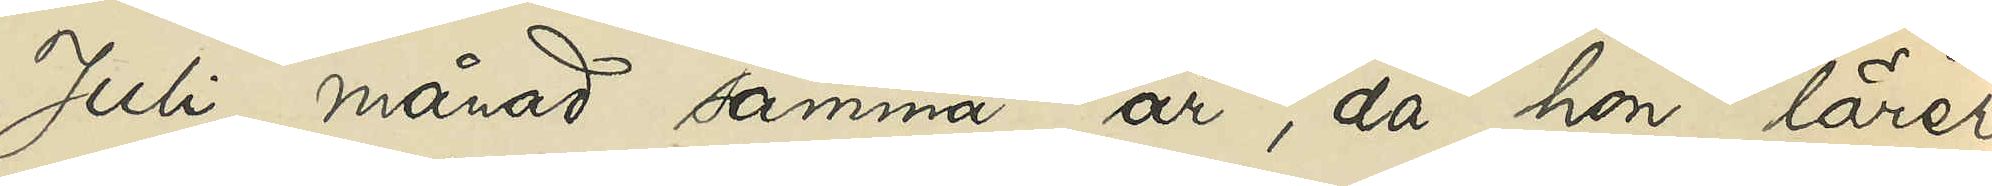Juli månad samma år, då hon lärer
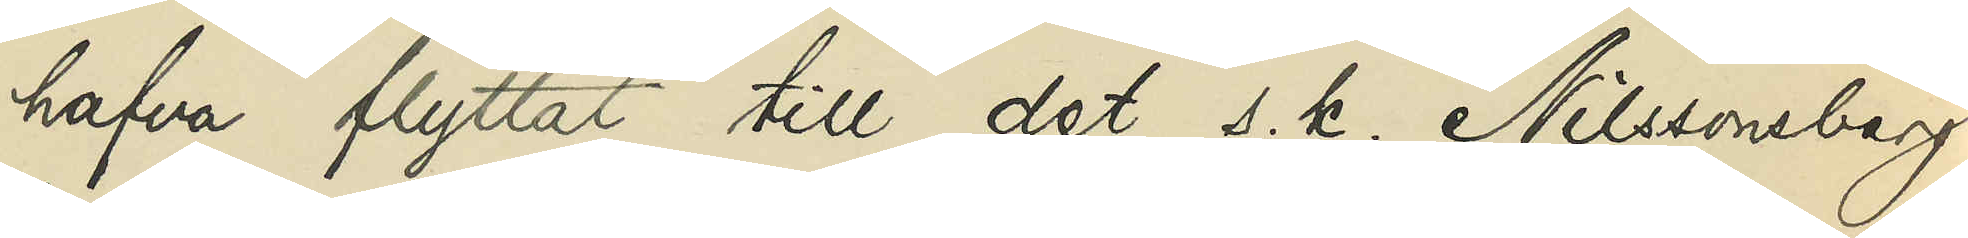hafva flyttat till det s. k. Nilssonsberg
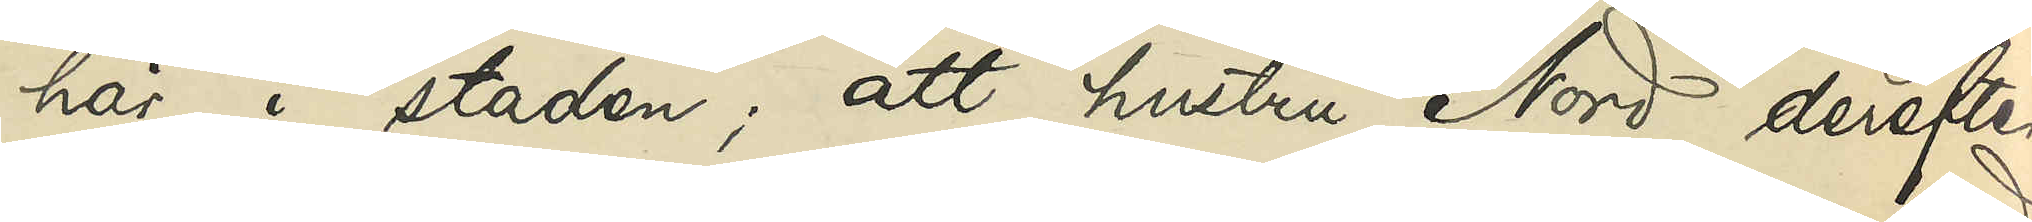här i staden; att hustru Nord derefter
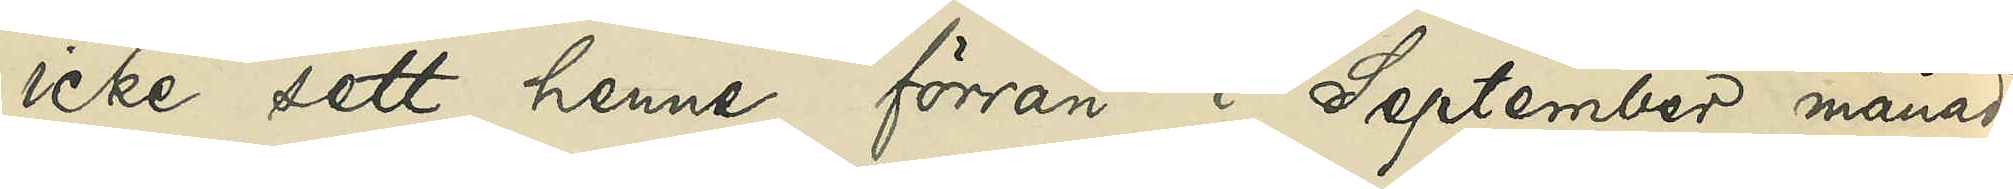icke sett henne förrän i September månad
